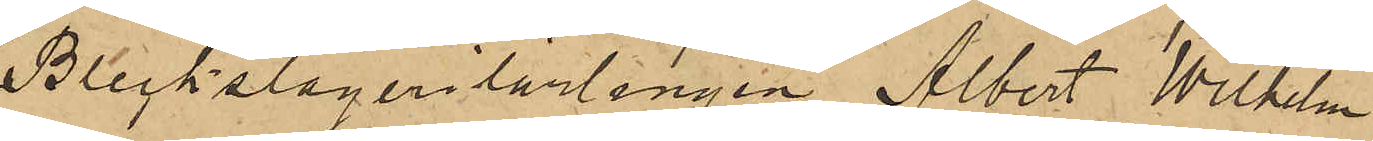Bleckslagerilärlingen Albert Wilhelm
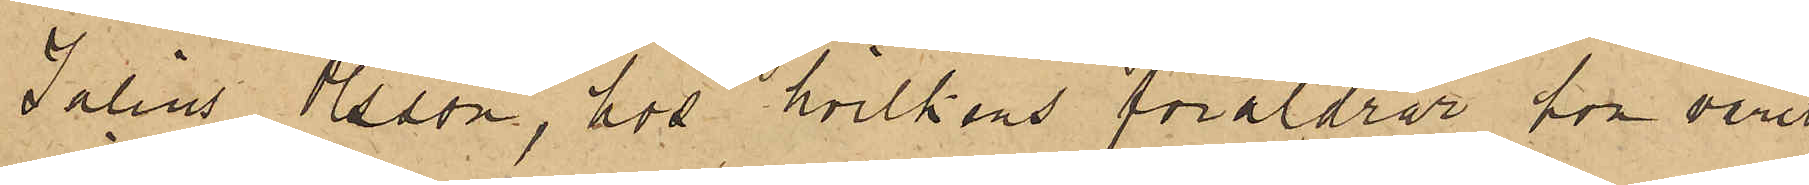Julius Osson, hos hvilkens föräldrar hon varit
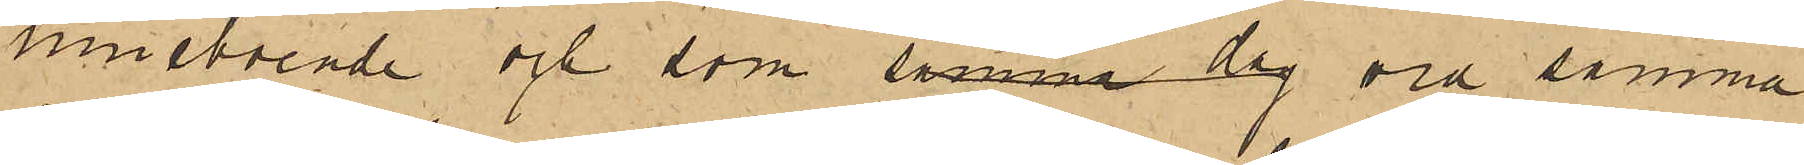inneboende och som samma dag vid samma
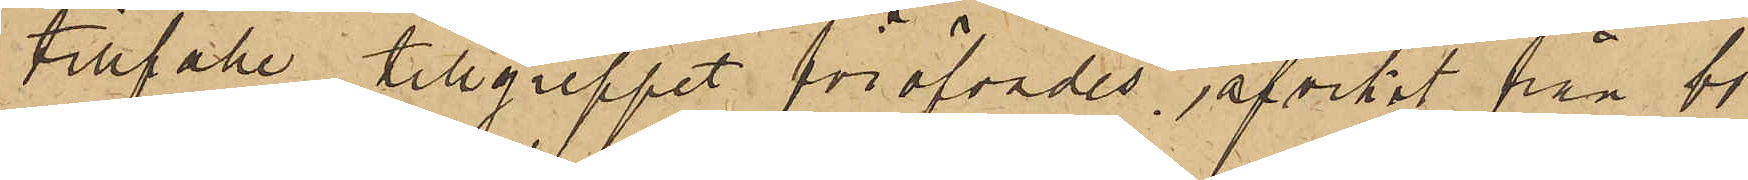tillfälle tillgreppet föröfvades afvikit från bo¬
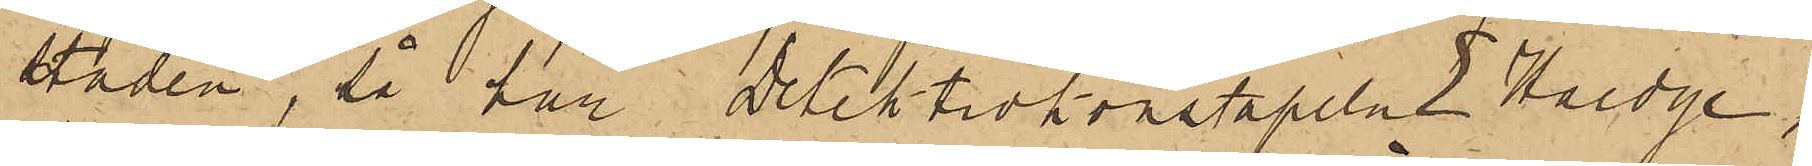staden, så har Detektivkonstapeln E Haedge,
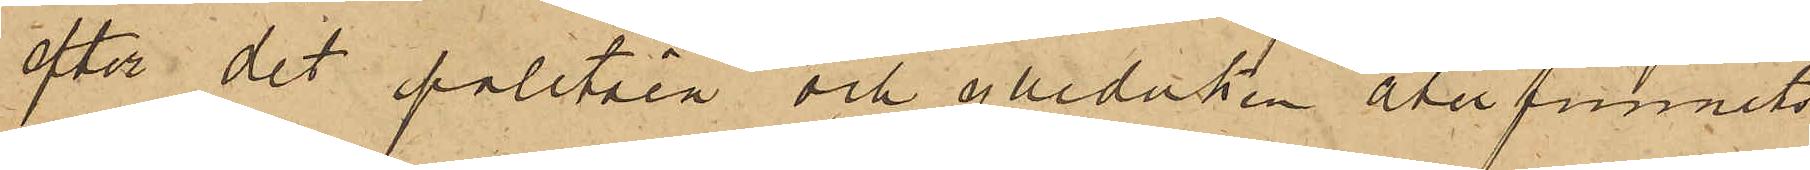efter det paletåen och ylleduken återfunnits
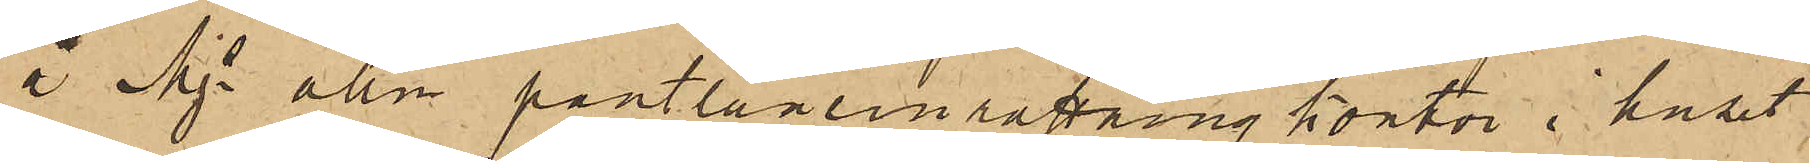i Mjs allm pantlåneinrättning kontor i huset
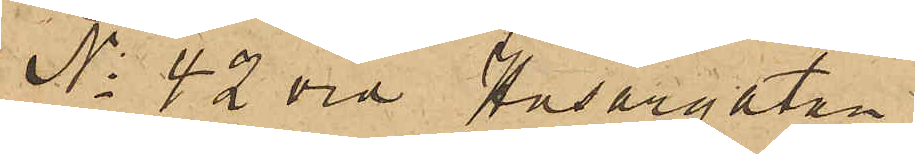No 42 vid Husargatan,
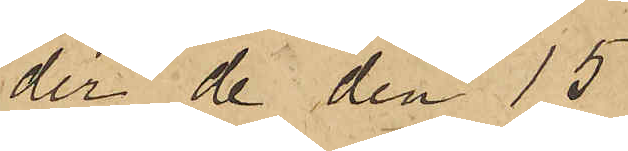der de den 15
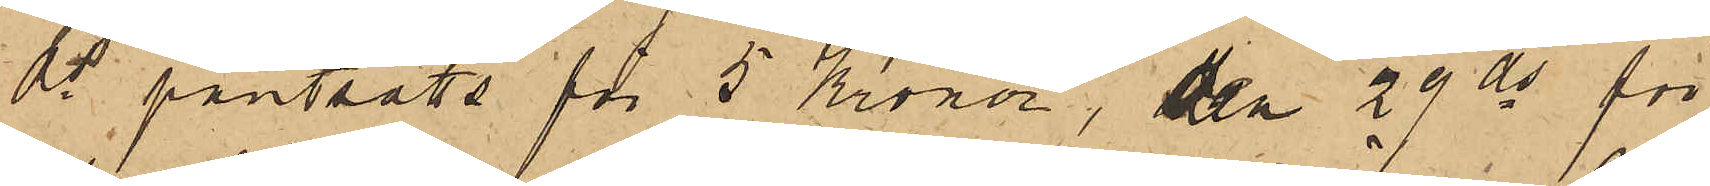ds pantsatts för 5 kronor, den 29 ds för
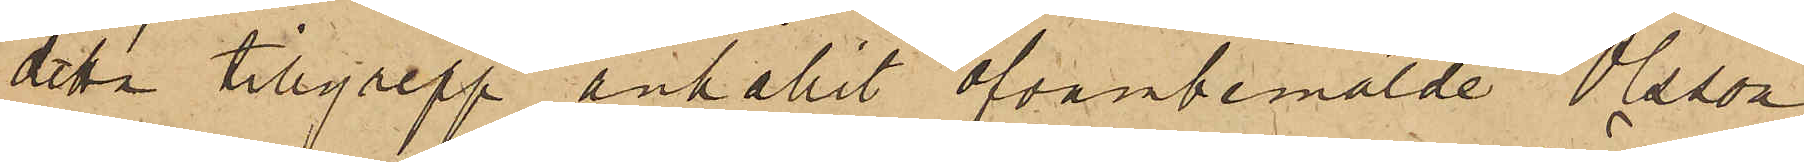detta tillgrepp anhållit ofvanbemälde Olsson,
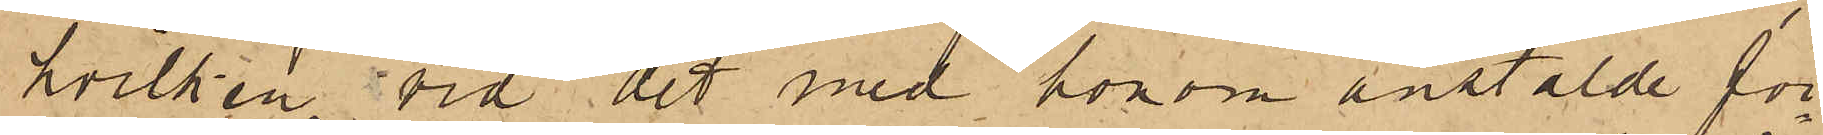hvilken vid det med honom anstälde för¬
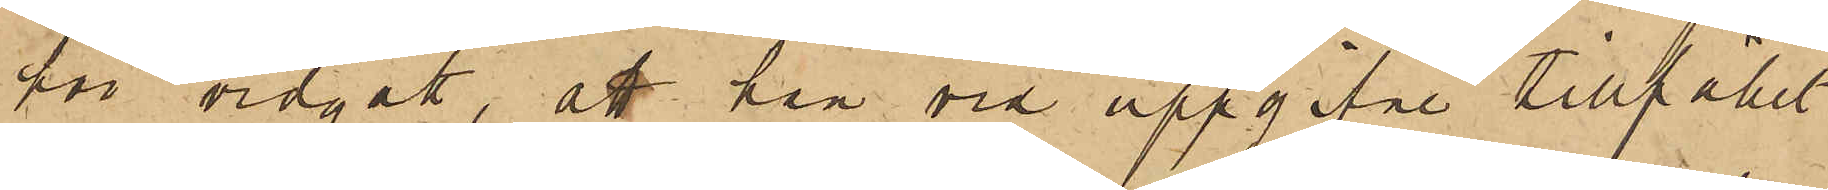hör vidgått, att han vid uppgifne tillfället
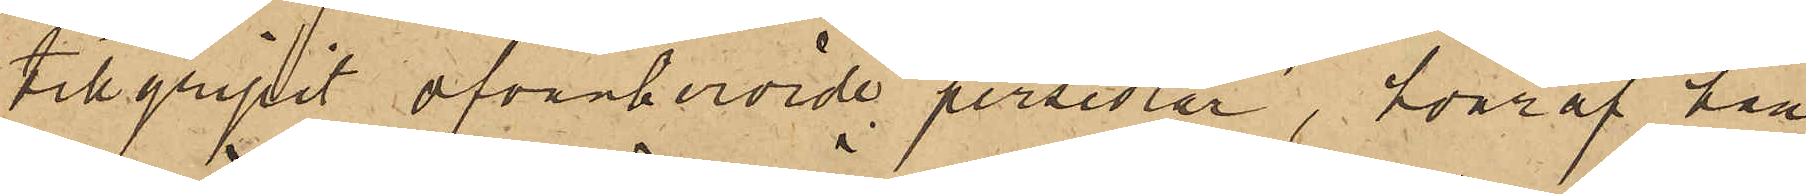tillgripit ofvanberörde persedlar, hvaraf han
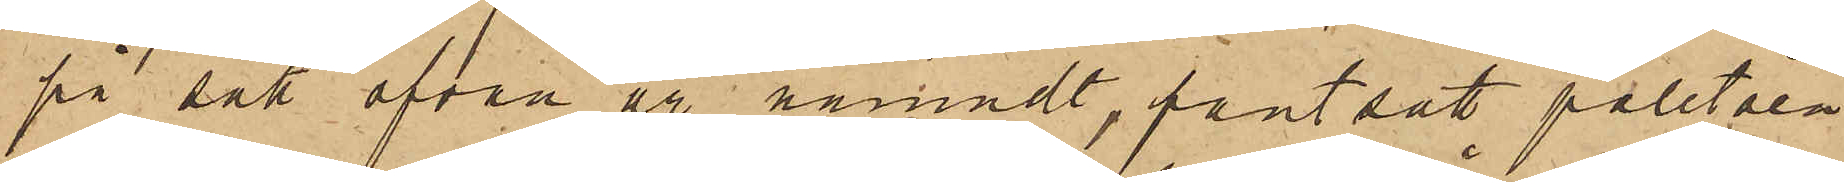på sätt ofvan är nämndt, pantsatt paletåen
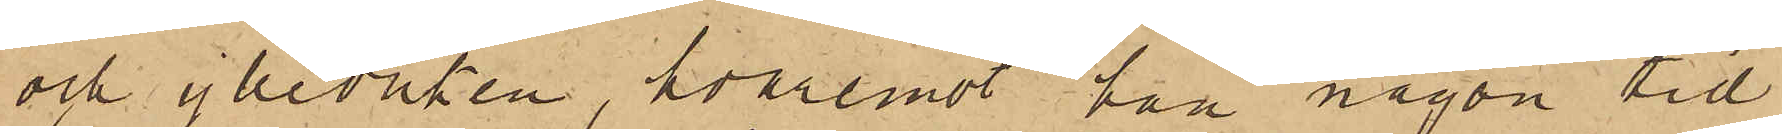och ylleduken, hvaremot han någon tid
